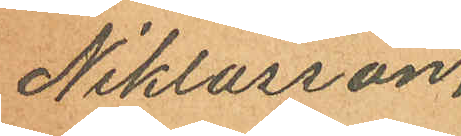Niklasson.
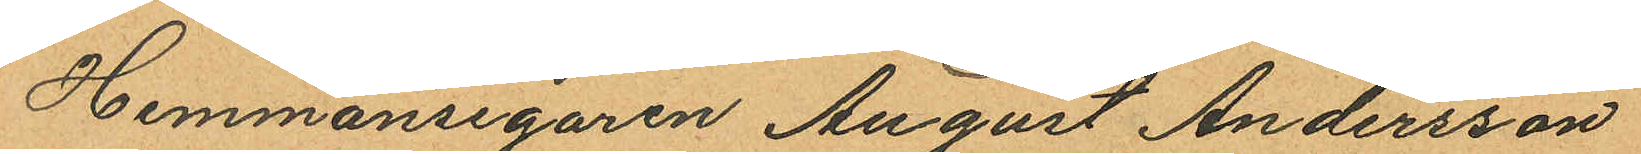Hemmansegaren August Andersson
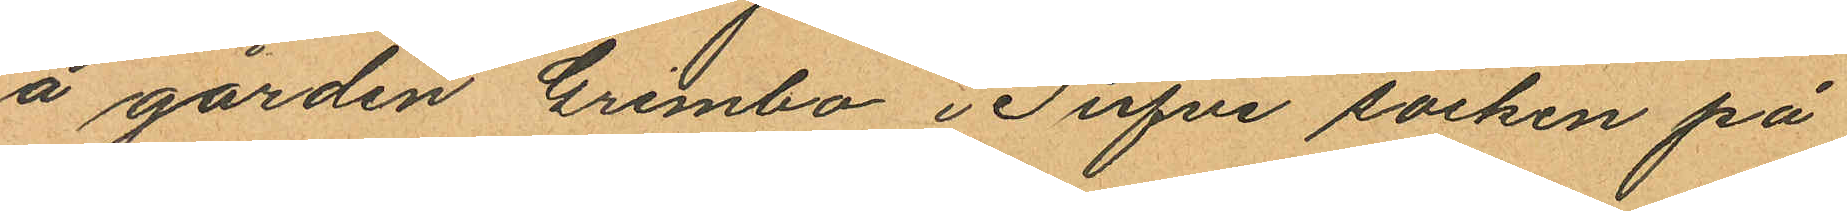å gården Grimbo i Tufve socken på
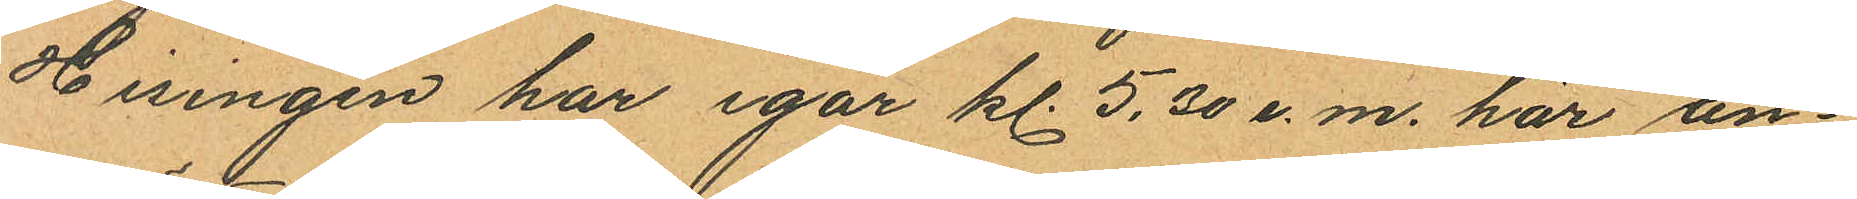Hisingen har igår kl. 5,30 e.m. här an
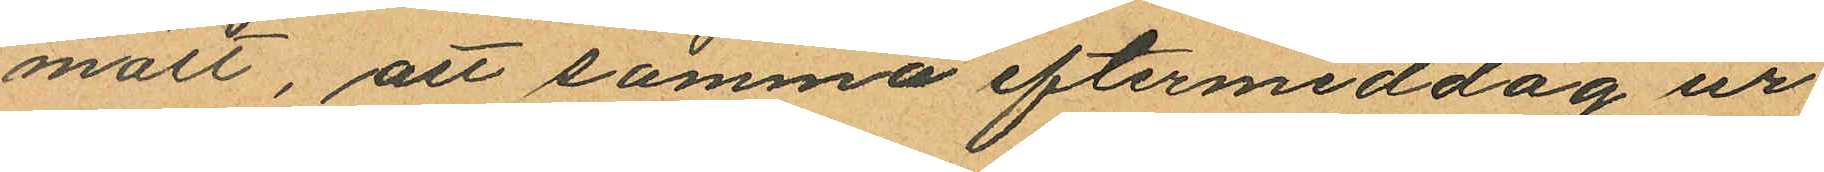mält, att samma eftermiddag ur
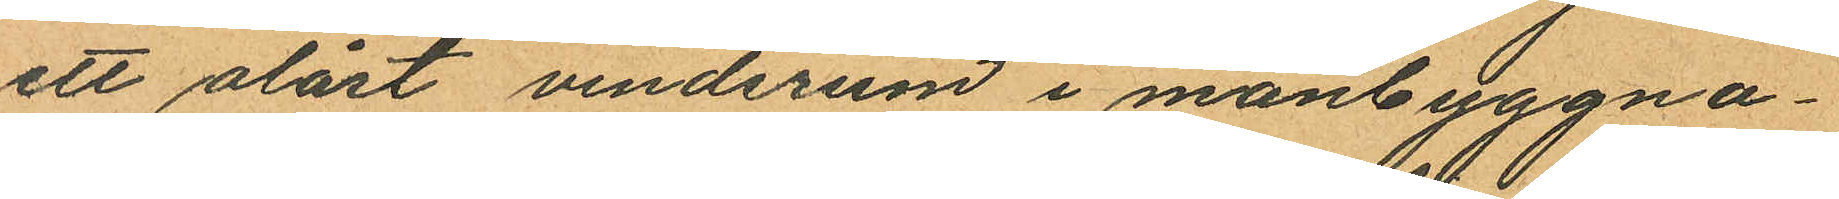ett olåst vindsrum i manbyggna¬
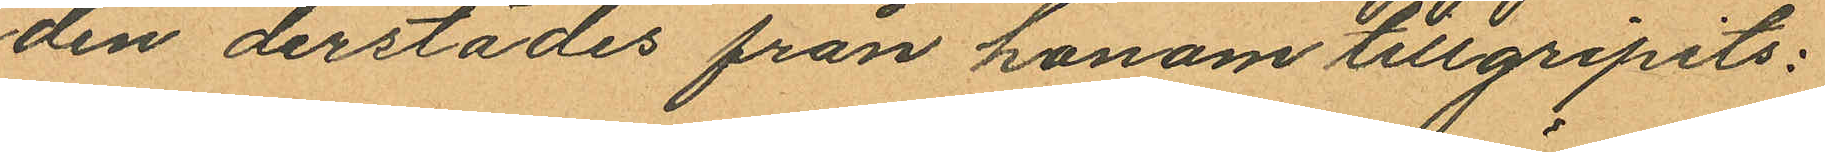den derstädes från honom tillgripits:
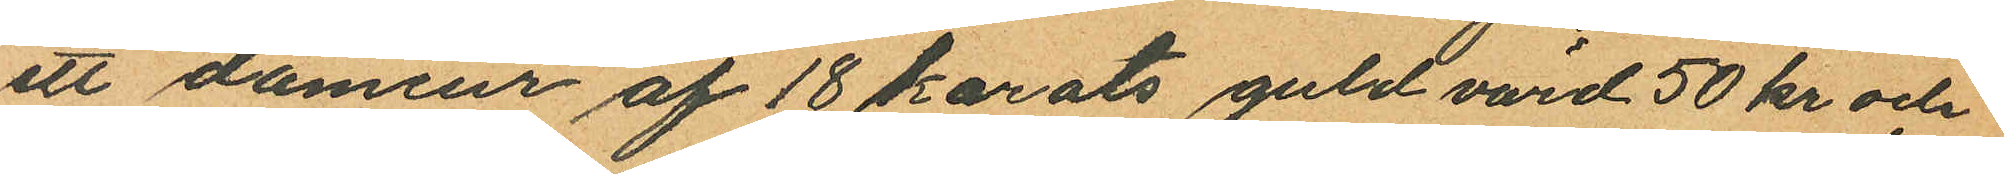ett dameur af 18 karats guld värd 50 kr och
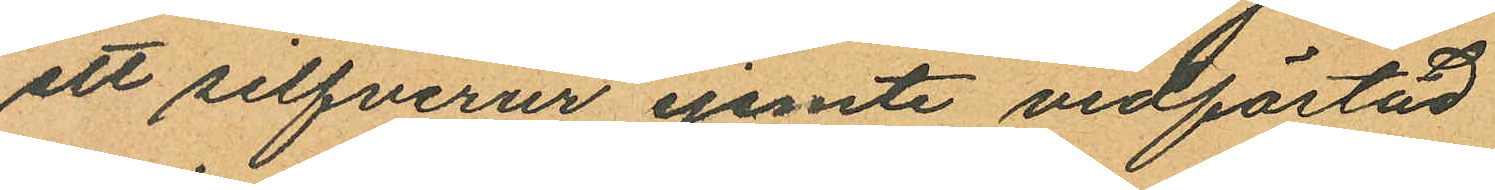ett silfverur jemte vidfästad
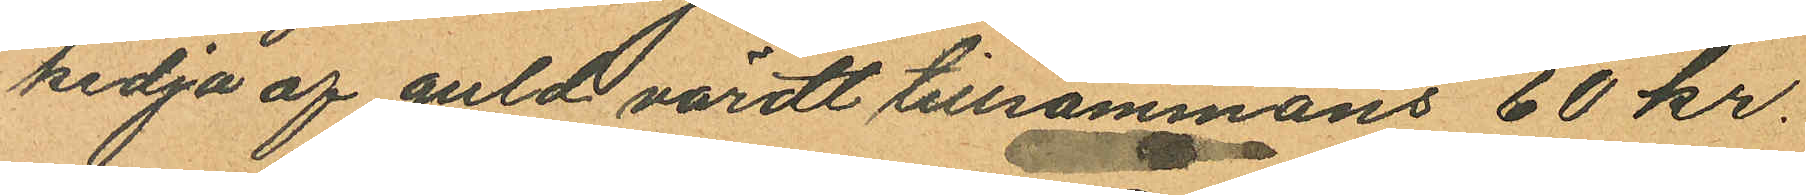kedja af guld värdt tillsammans 60 kr.
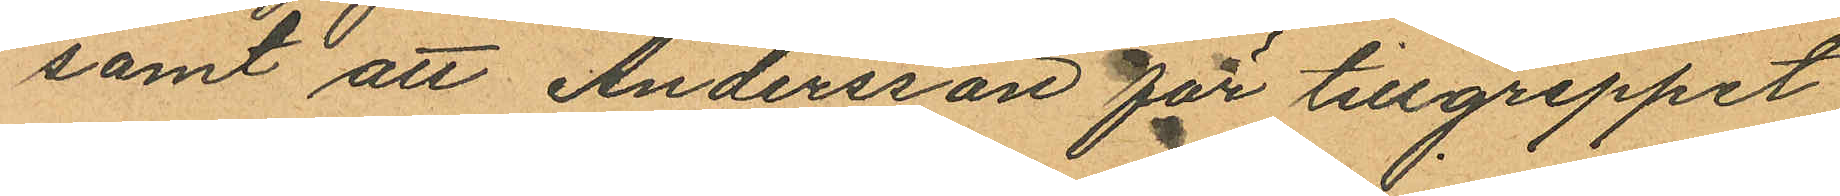samt att Andersson för tillgreppet
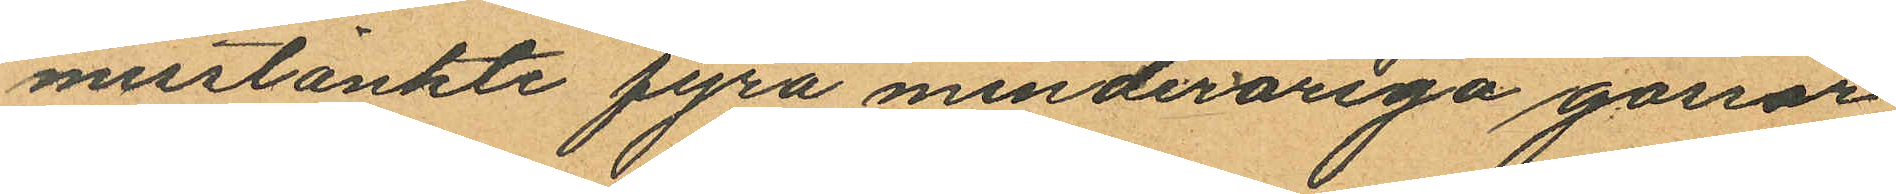misstänkte fyra minderåriga gossar,
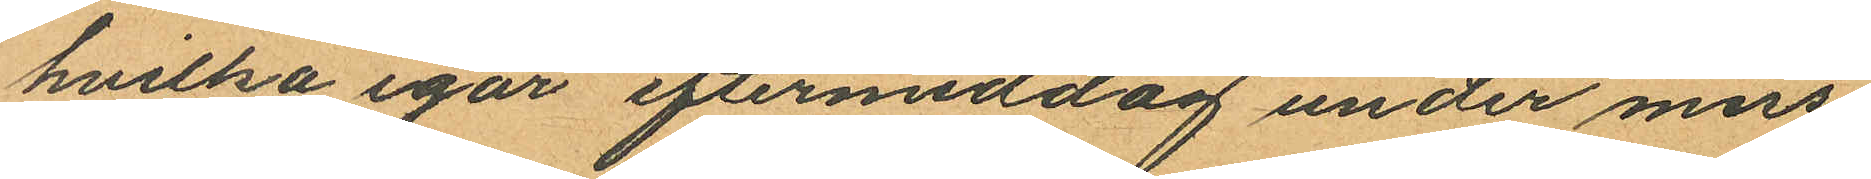hvilka igår eftermiddag under miss¬
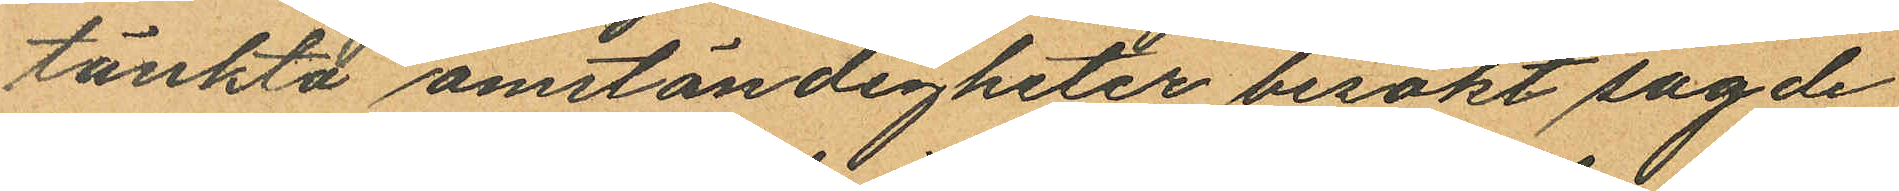tänkta omständigheter besökt sagde
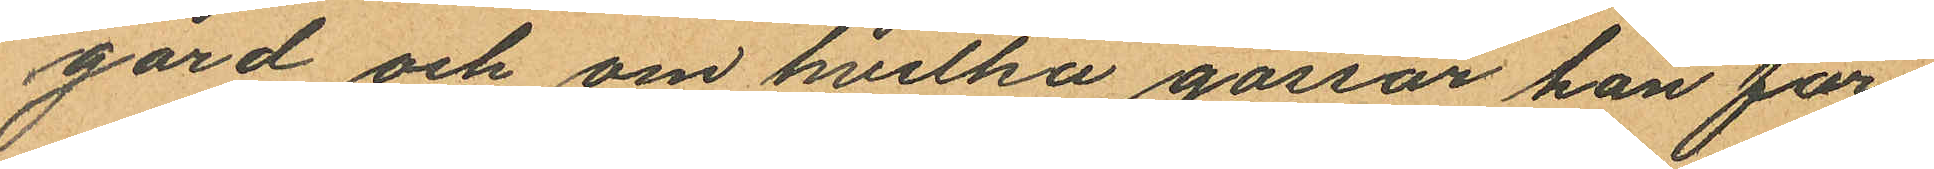gård och om hvilka gossar han för¬
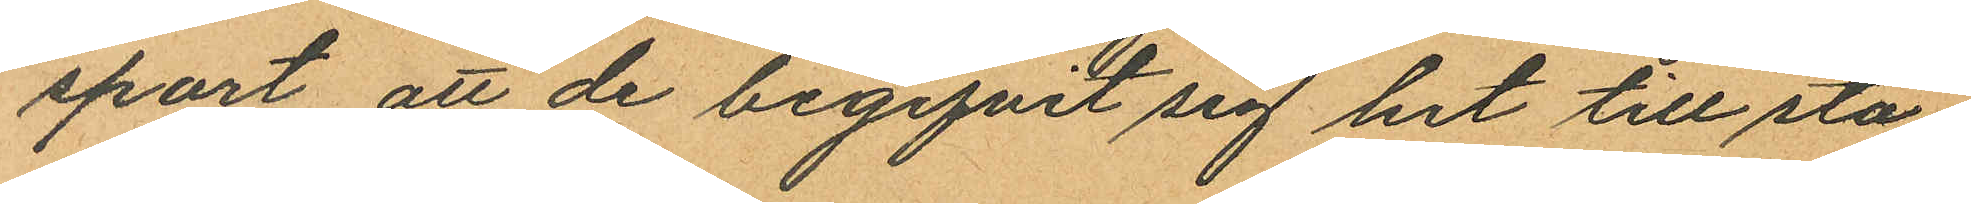sport att de begifvit sig hit till sta¬
